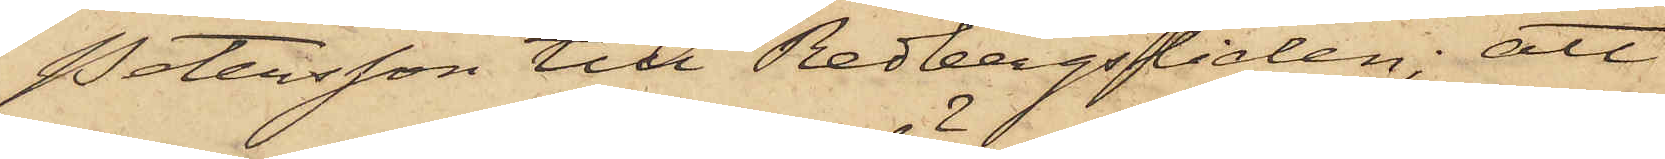Petersson till Redbergsliden; att
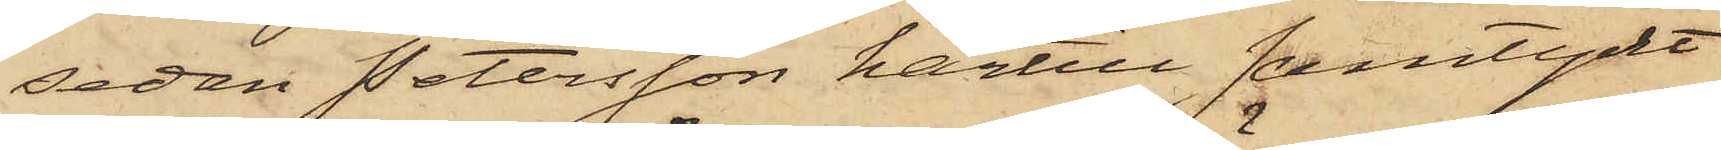sedan Petersson härtill samtyckt
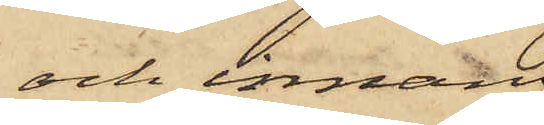och innan
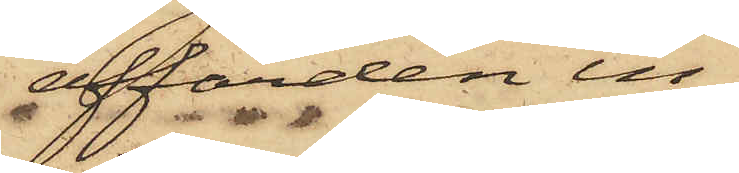affärden in¬
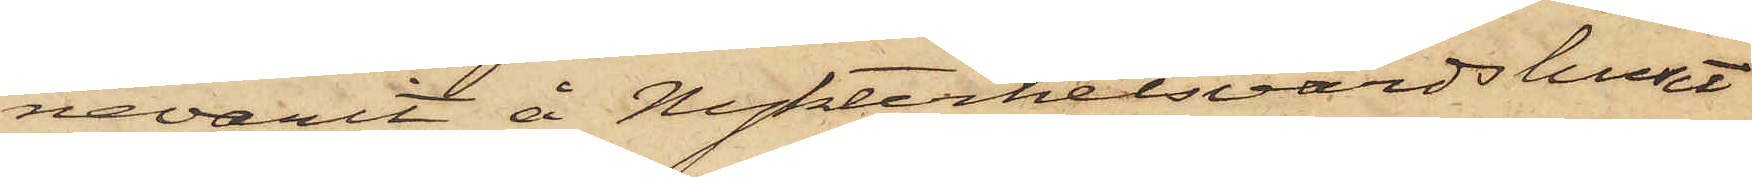nevarit å Nykterhetsvärdshuset
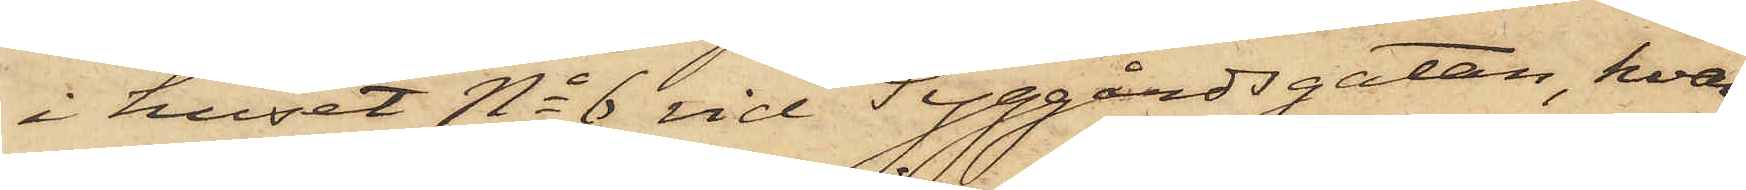i huset No 6 vid Tyggårdsgatan, hvar¬
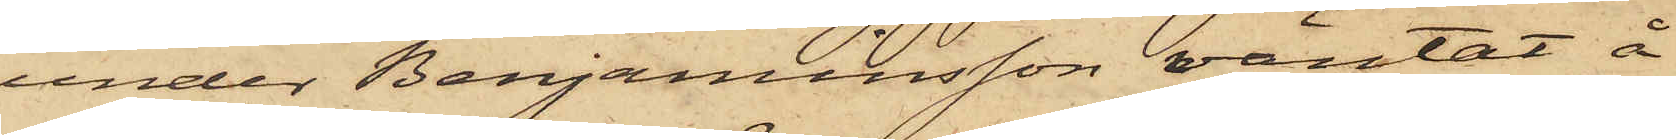under Benjaminsson väntat å
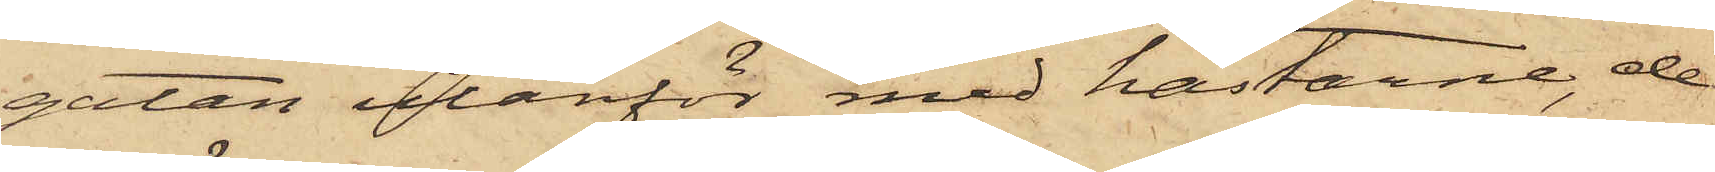gatan utanför med hästarne, de
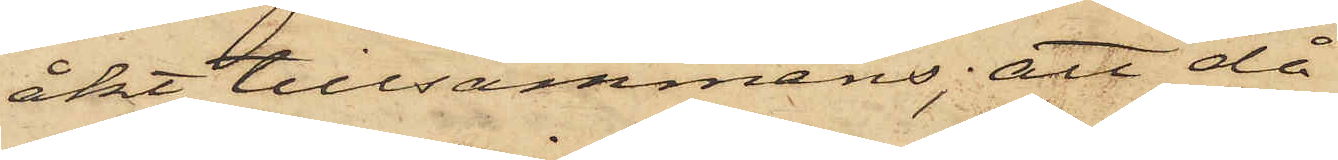åkt tillsammans; att då
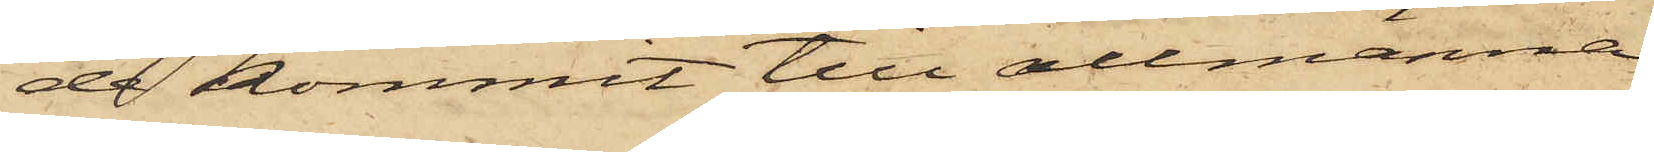de kommit till allmänna
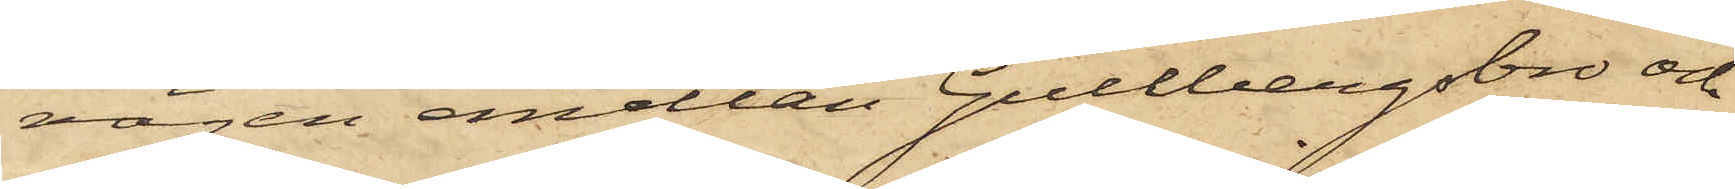vägen emellan Gullbergsbro och
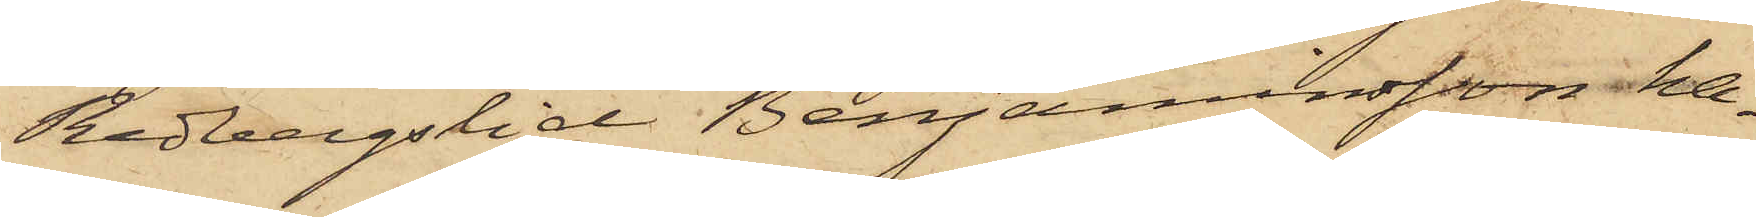Redbergslid Benjaminsson ha¬
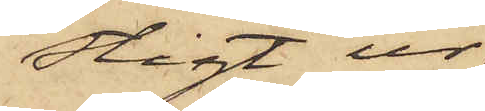stigt ur
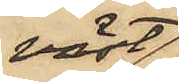väst¬
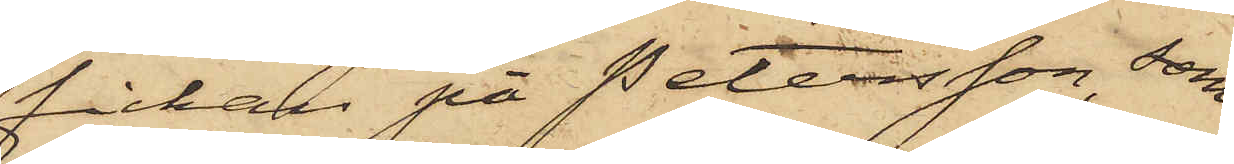fickan på Petersson, som
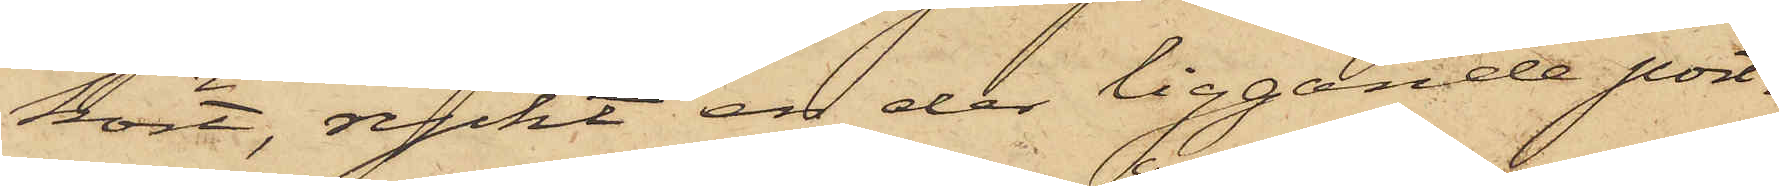kört, ryckt en der liggande port¬
